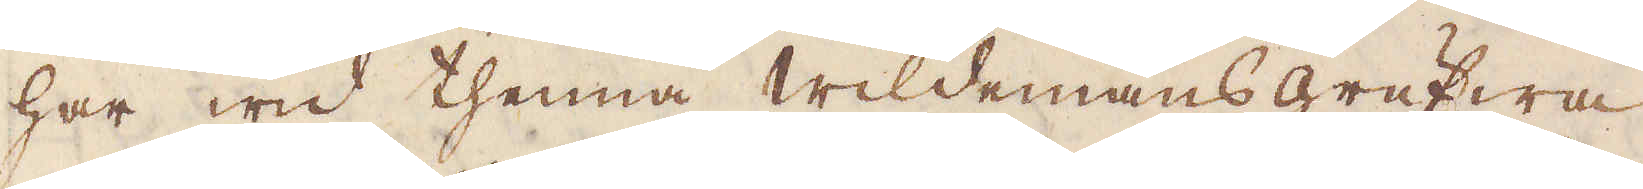har wid thenna Wildemans grufwa
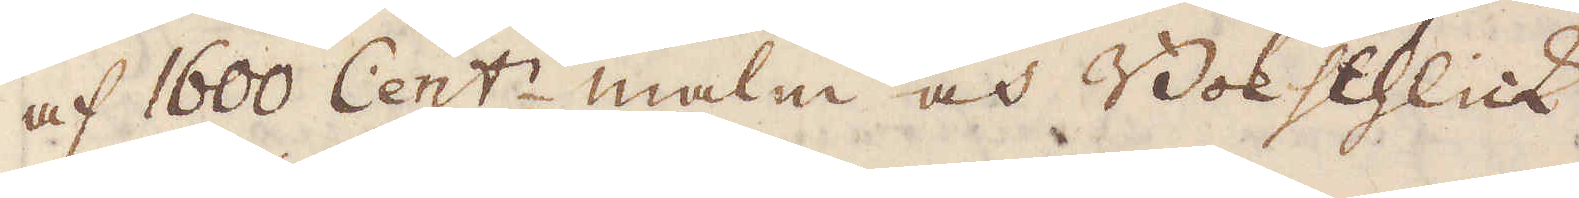af 1600 Cent:r malm och Bokschlick
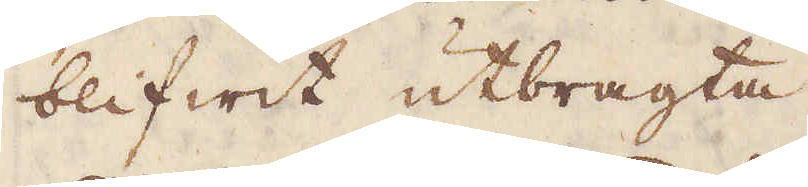blifwit utbragta
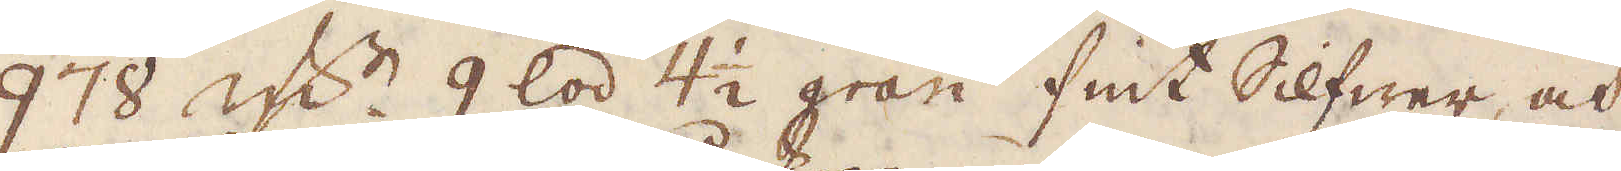978 qw:r 9 lod 4 1/2 gran fint Silfwer, och
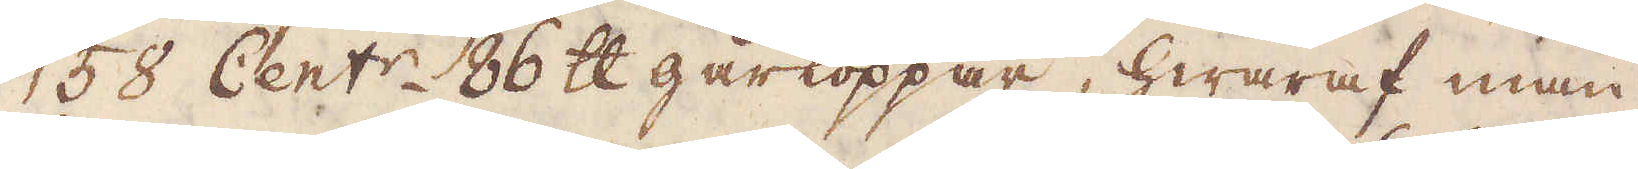58 Cent:r 86 skålpund gårkoppar, hwaraf man
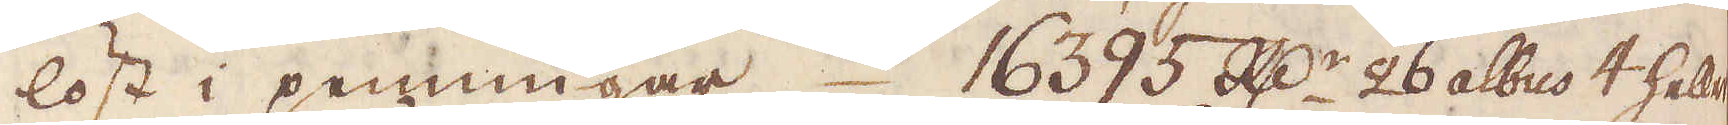löst i penningar 16395 R:dr 26 albus 4 heller.
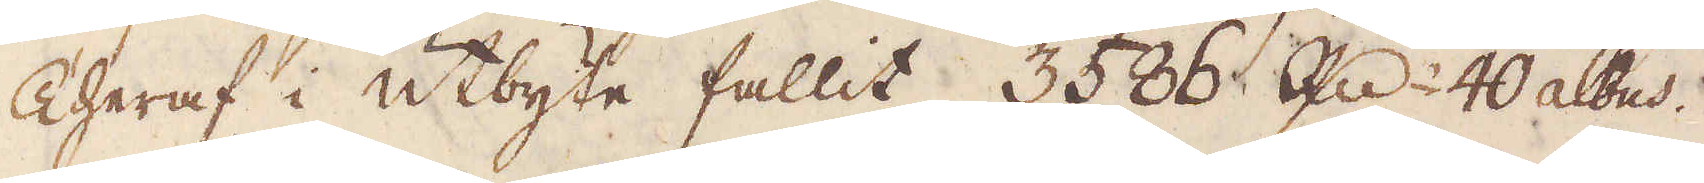Theraf i utbyte fallit 3586 R:dr 40 albus.
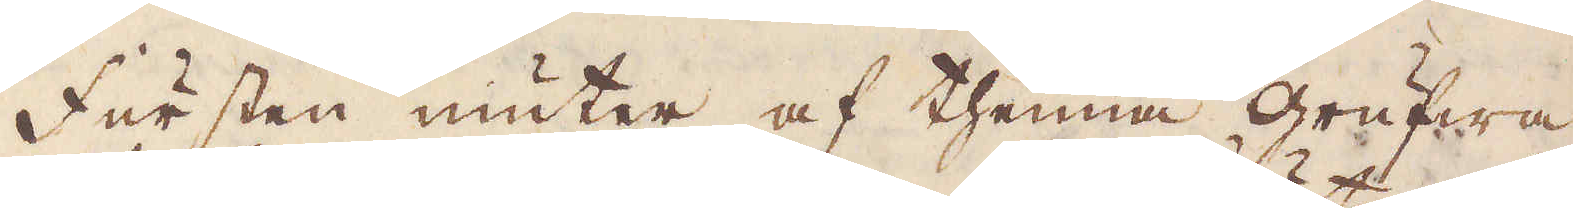Fursten niuter af thenna grufwa
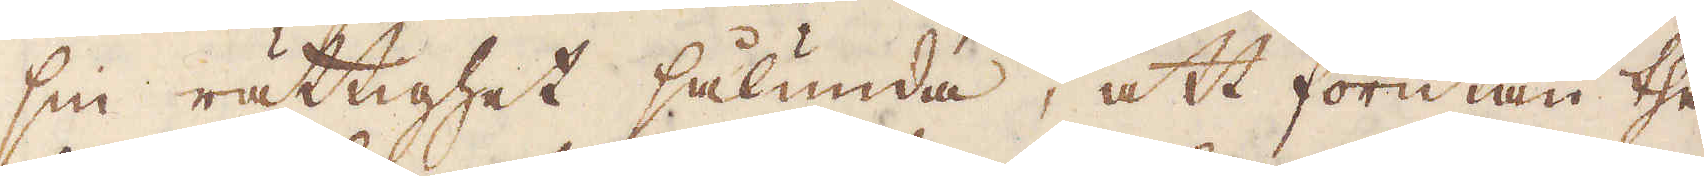sin rättighet sålunda, att förutan the
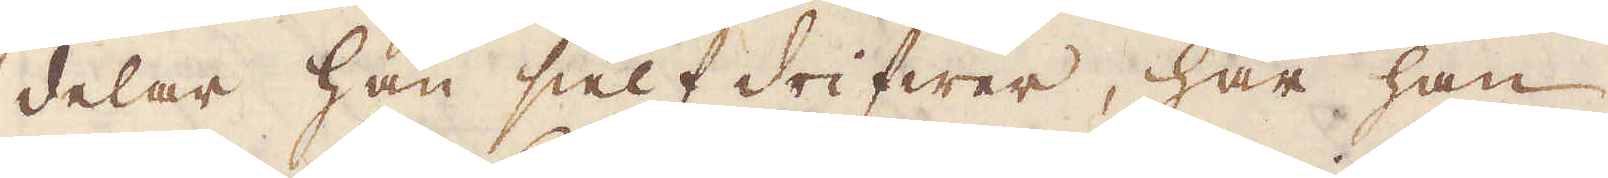delar han sielf drifwer, har han
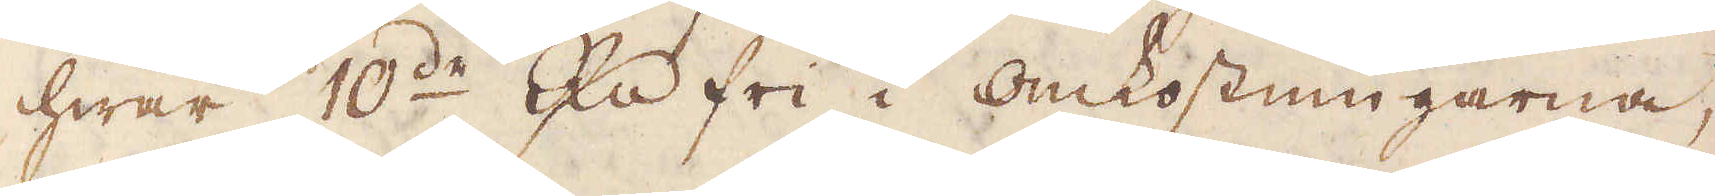hwar 10:de R:dr fri i omkostningarna,
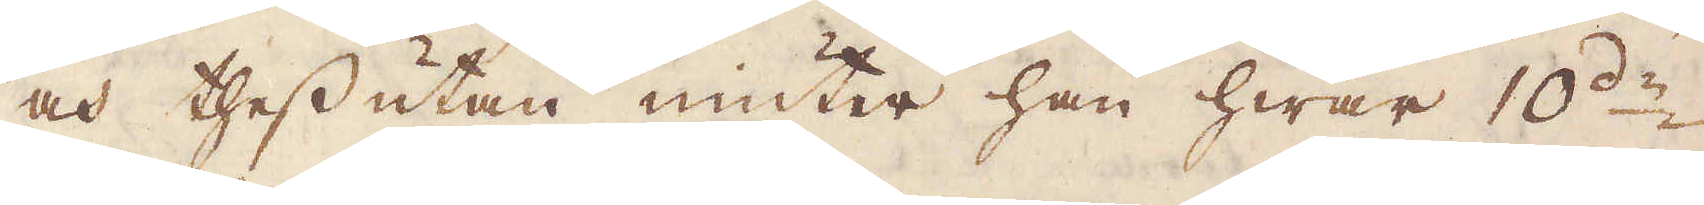och thessutan niuter han hwar 10:de
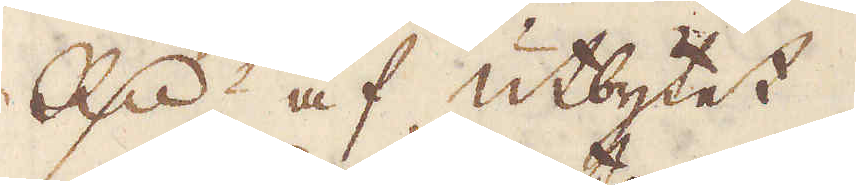R:dr af utbytet.
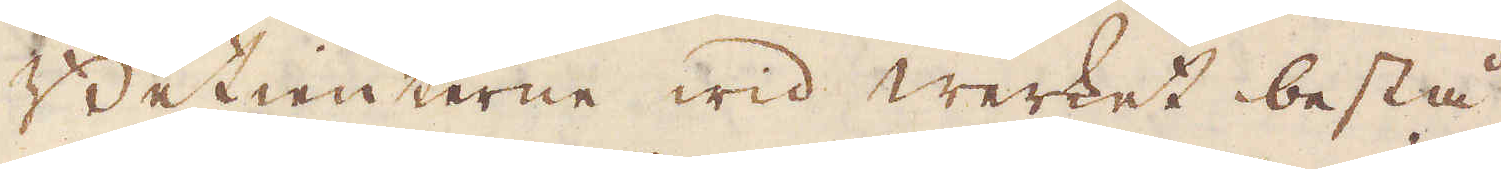Betienterne wid werket bestå
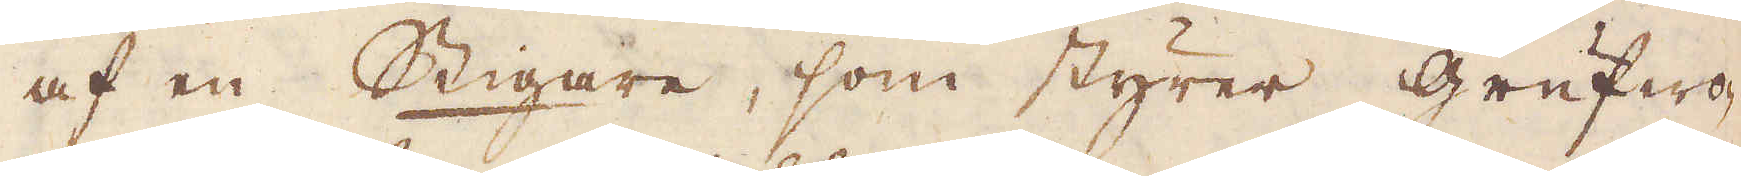af en Stigare, som styrer grufwo-
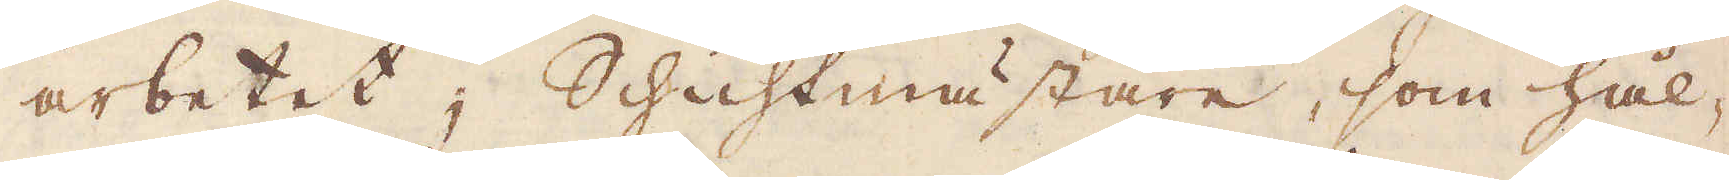arbetet; Schichtmästare, som hål-
